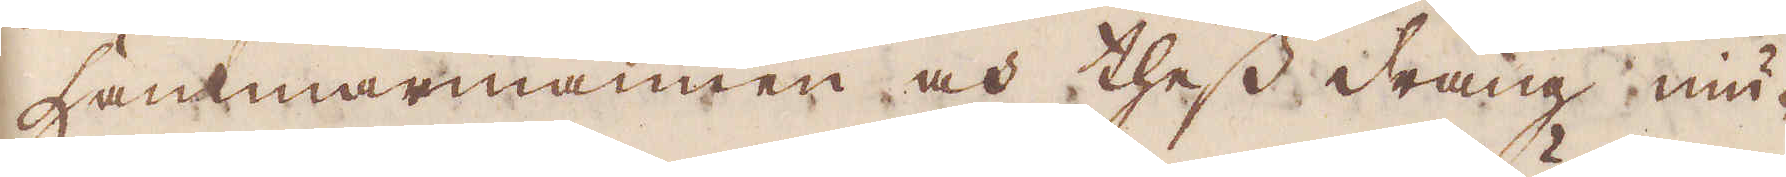hammarmannen och thess dräng, niu-
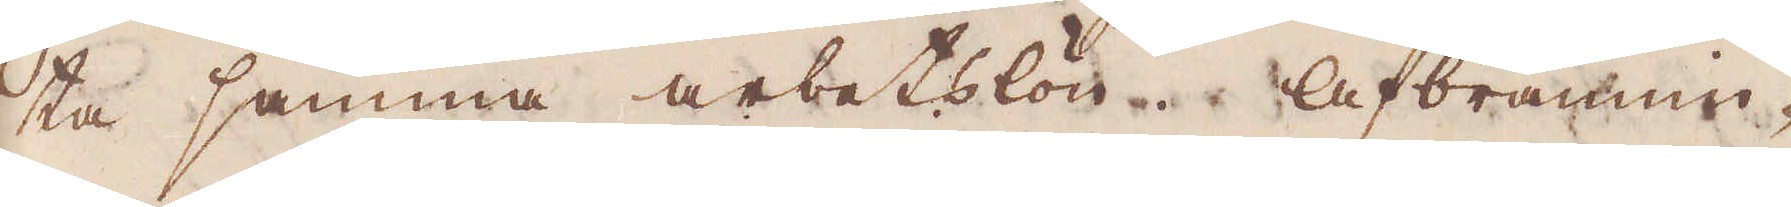ta samma arbetslön. Afbrännin-
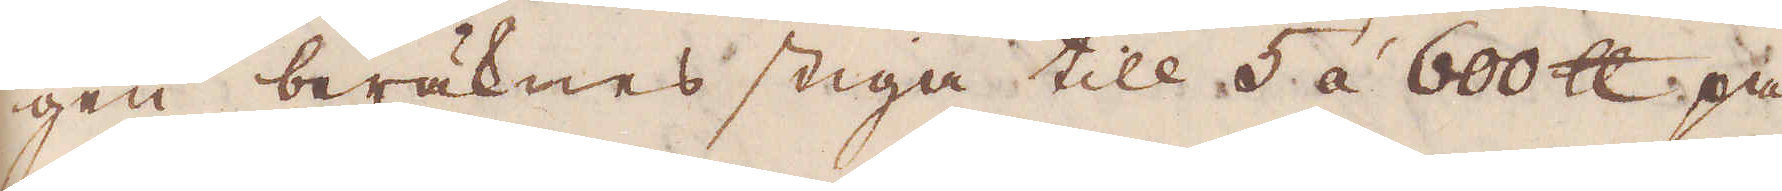gen beräknas stiga till 5 à 600 skålpund på
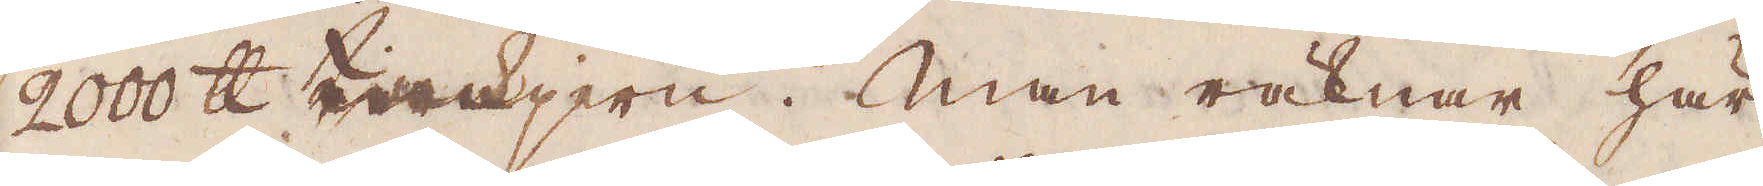2000 skålpund tackjern. Man räknar här
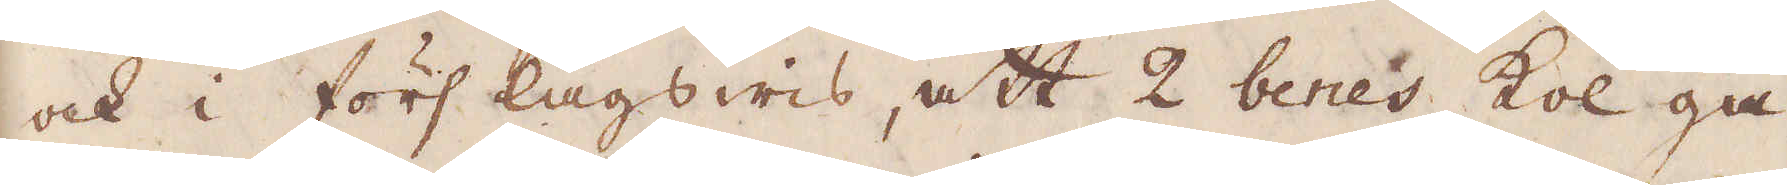och i förslagswis, att 2 benes kol gå
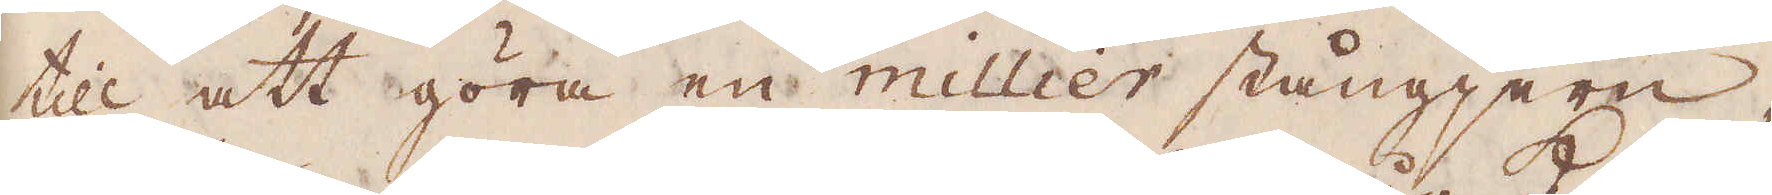till att göra en millier stångjern,
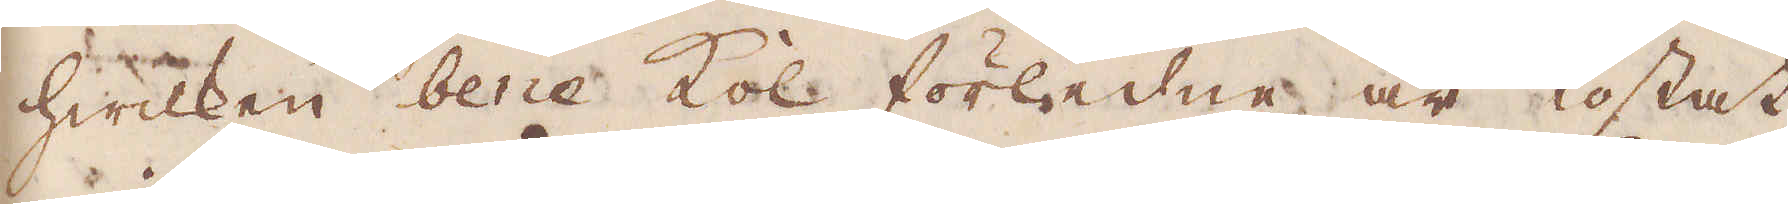hwilcken bene Kol förledne år kostat
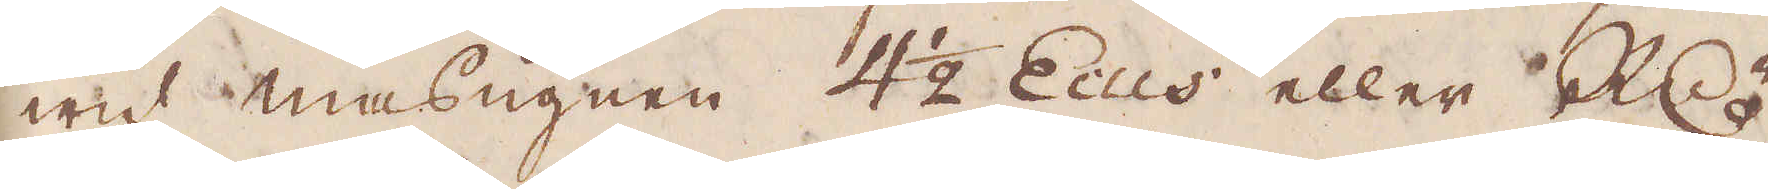wid masugnen 4 1/2 Ecus eller R:dr
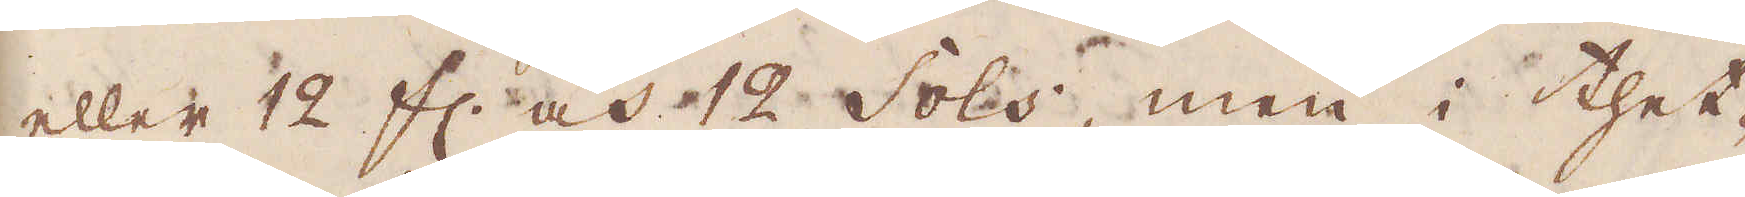eller 12 fl. och 12 Sols, men i thet-
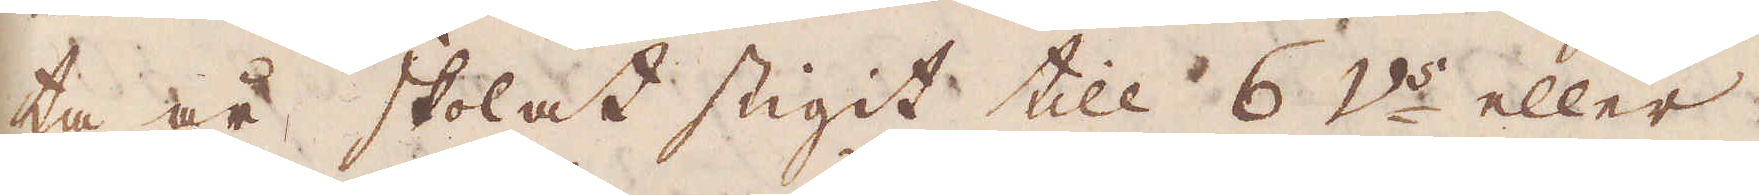ta år skolat stigit till 6 V:s eller
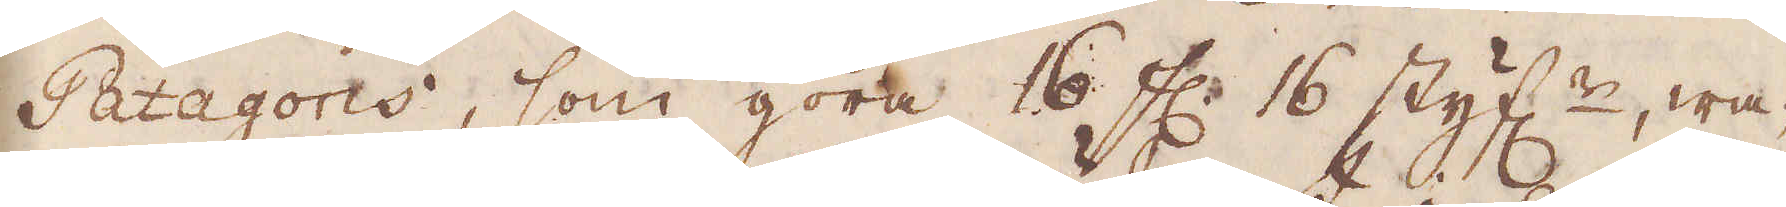Patagoris, som göra 16 fl. 16 styf:r, wa-
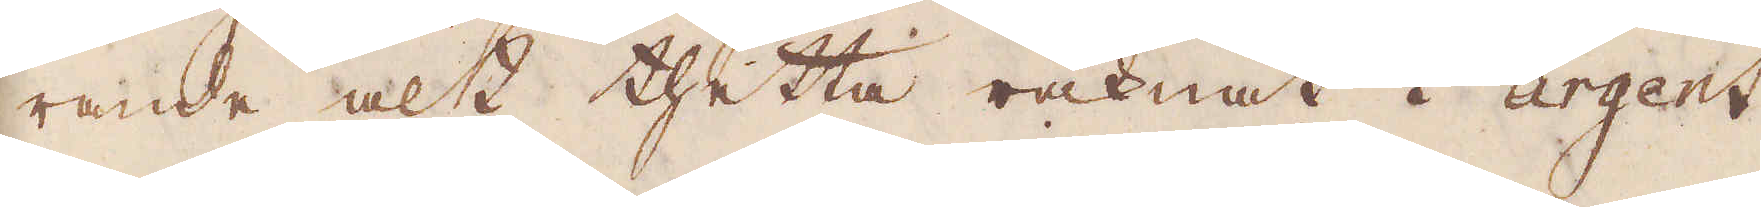rande alt thetta räknat i argent
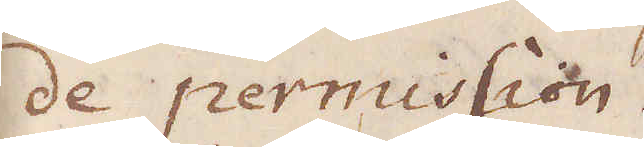de permission.
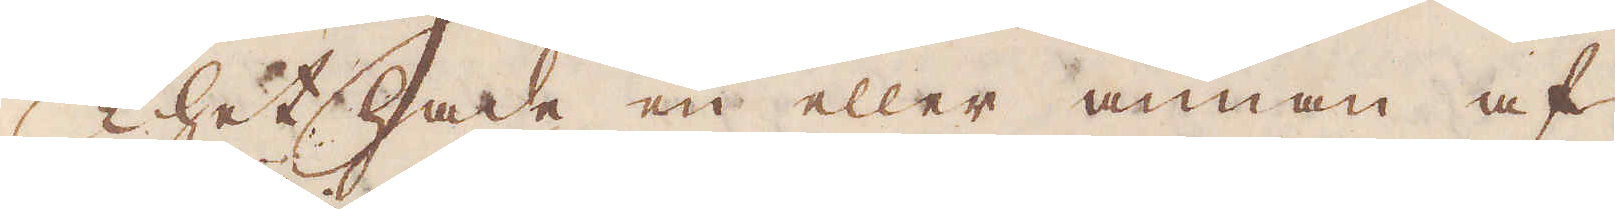Thet hade en eller annan af
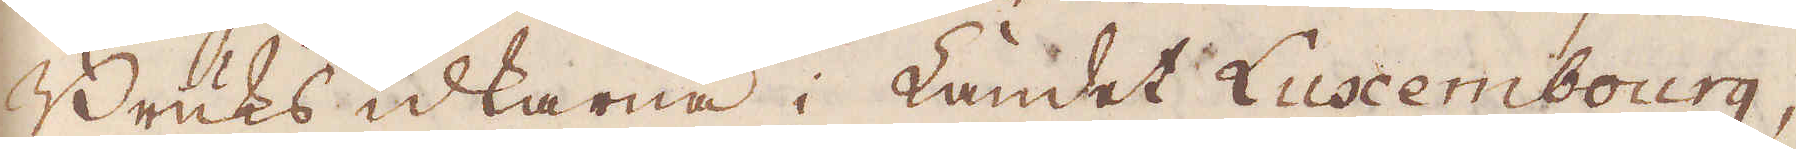Bruksidkarna i Landet Luxenbourg,
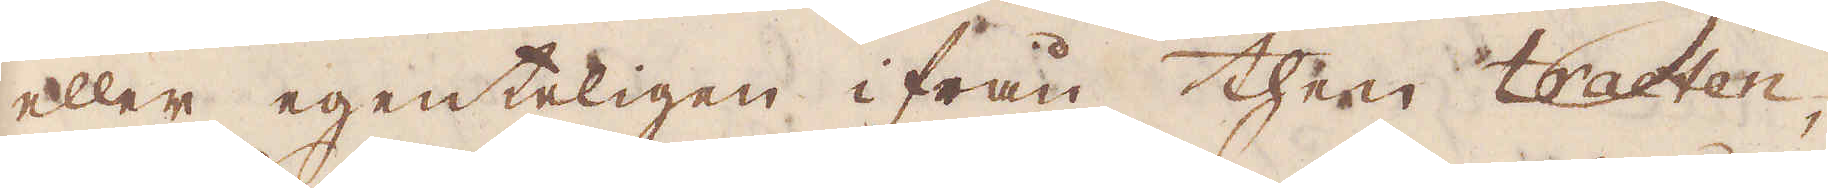eller egentligen ifrån then tracten,
